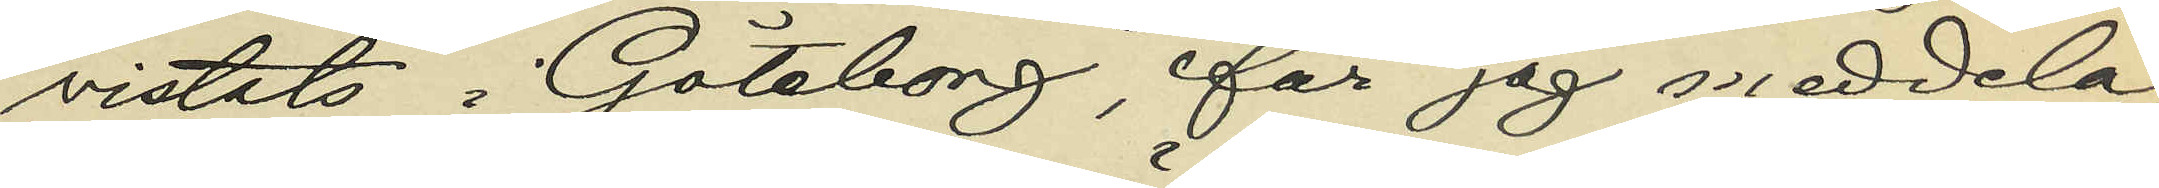vistats i Göteborg, får jag meddela,
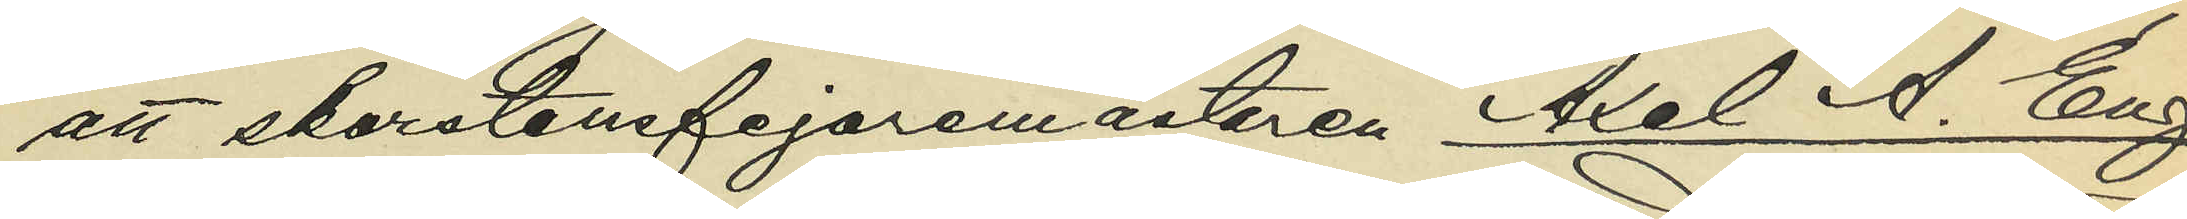att skorstensfejaremästaren Axel A. Eng¬
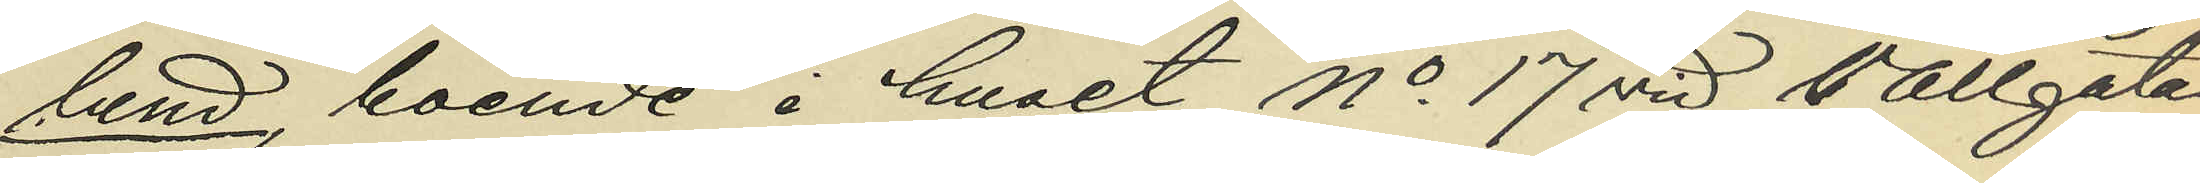lund, boende i huset No 17 vid Vallgatan,
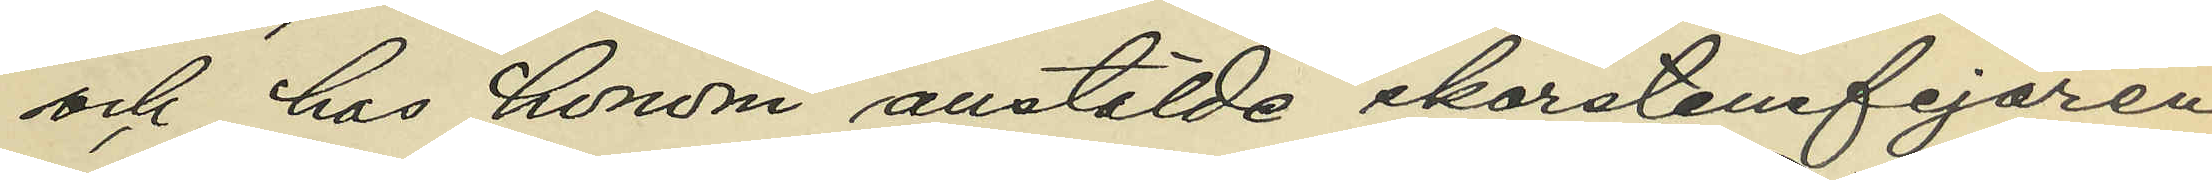och hos honom anstälde skorstensfejaren
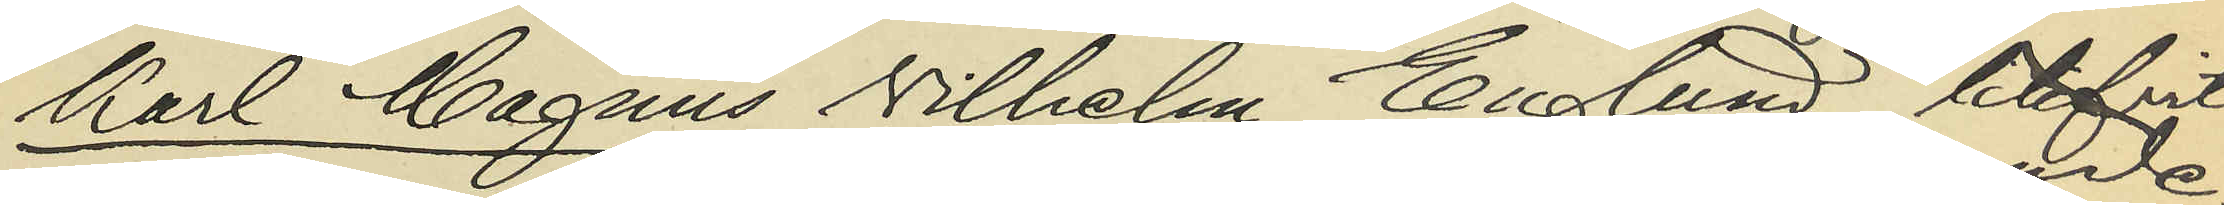Karl Magnus Vilhelm Englund, blifvit
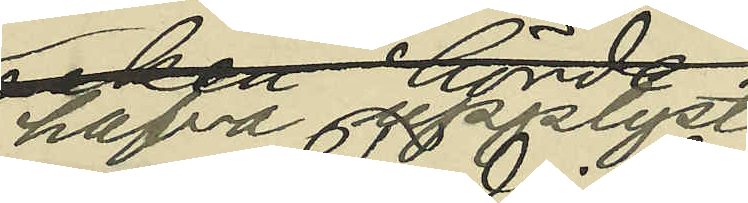hafva upplyst:
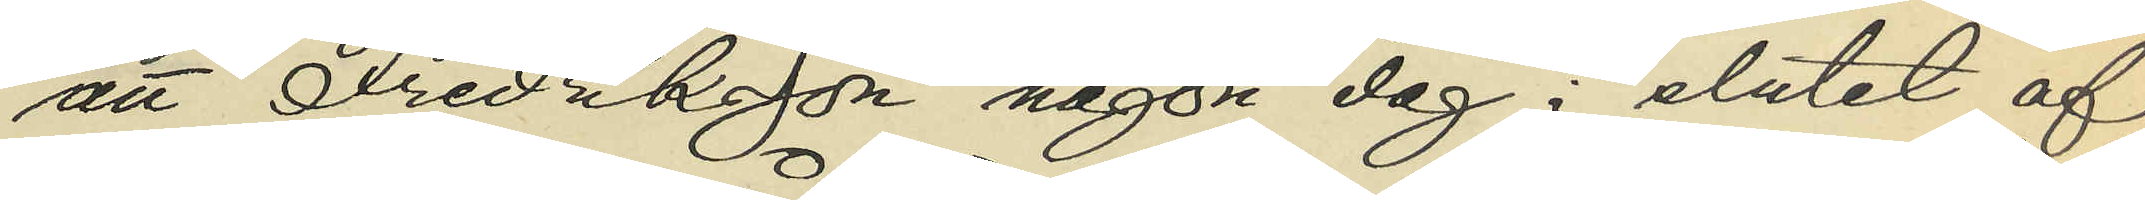att Fredriksson någon dag i slutet af
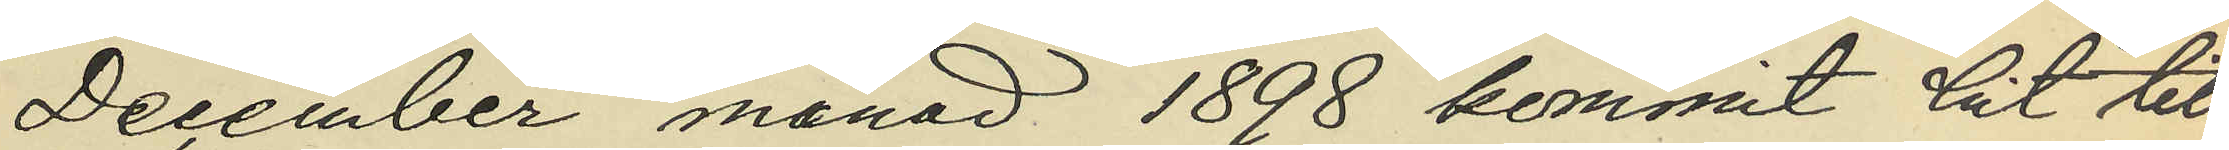December månad 1898 kommit hit till
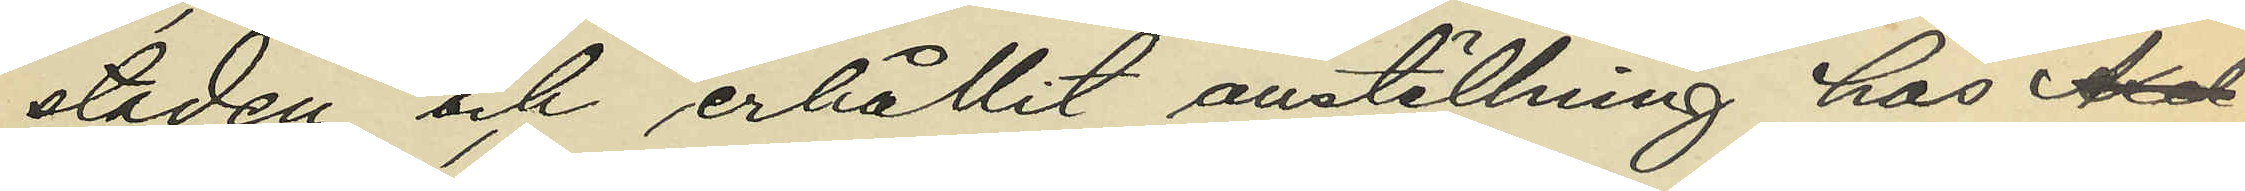staden och erhållit anställning hos Axel
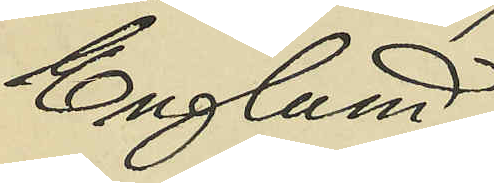Englund;
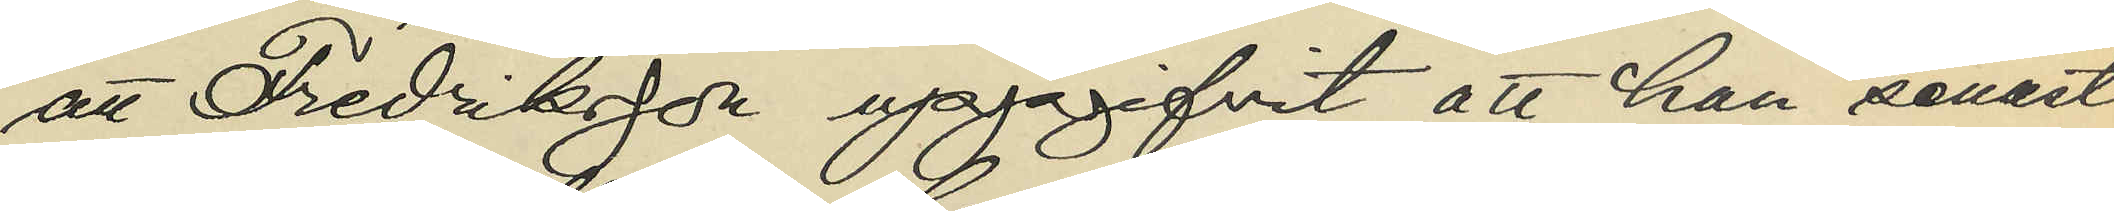att Fredriksson uppgifvit att han senast
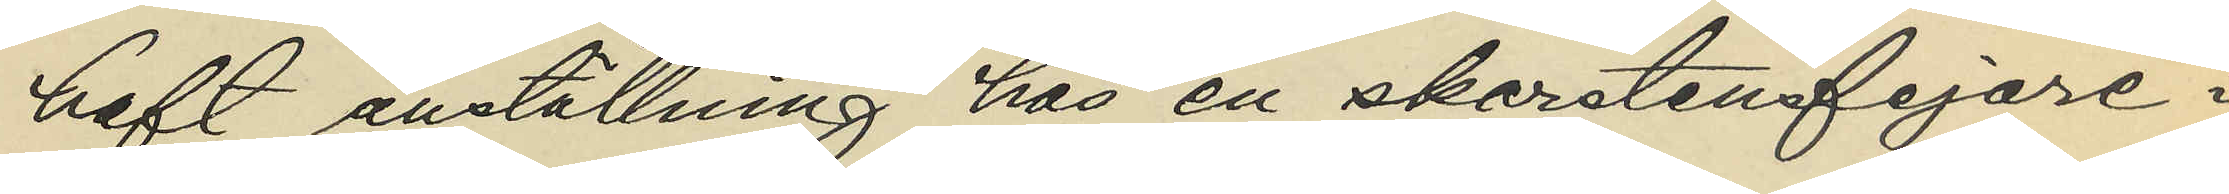haft anställning hos en skorstensfejare i
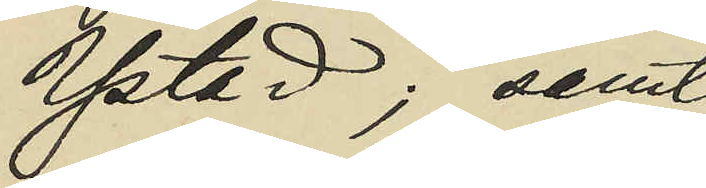Ystad; samt
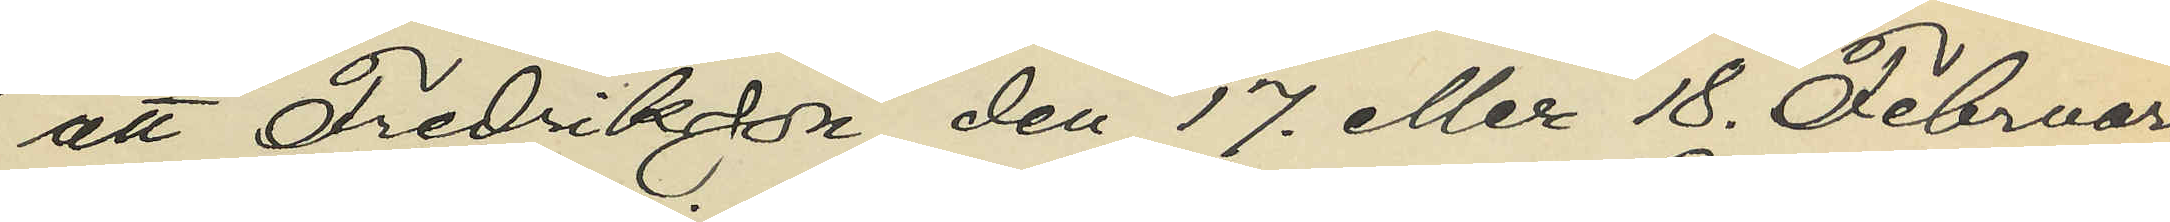att Fredriksson den 17. eller 18. Februari
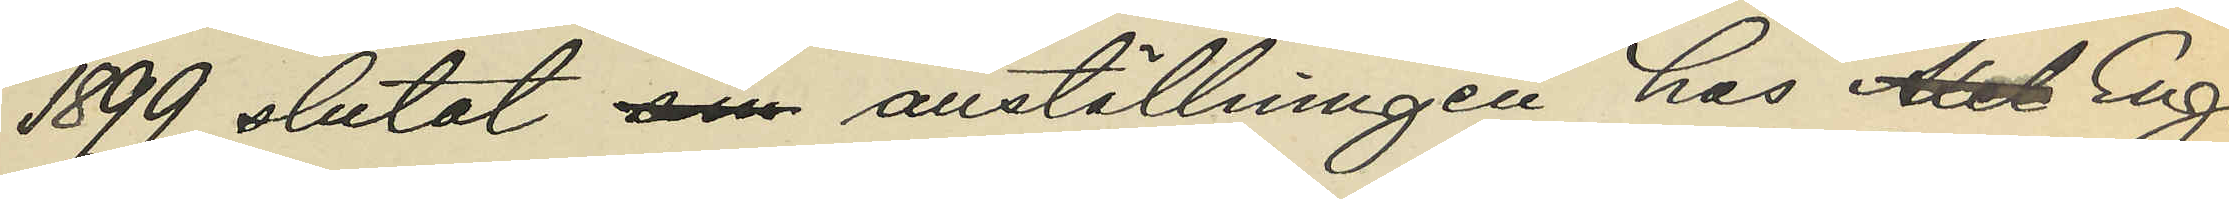1899 slutat sin anställningen hos Axel Eng¬
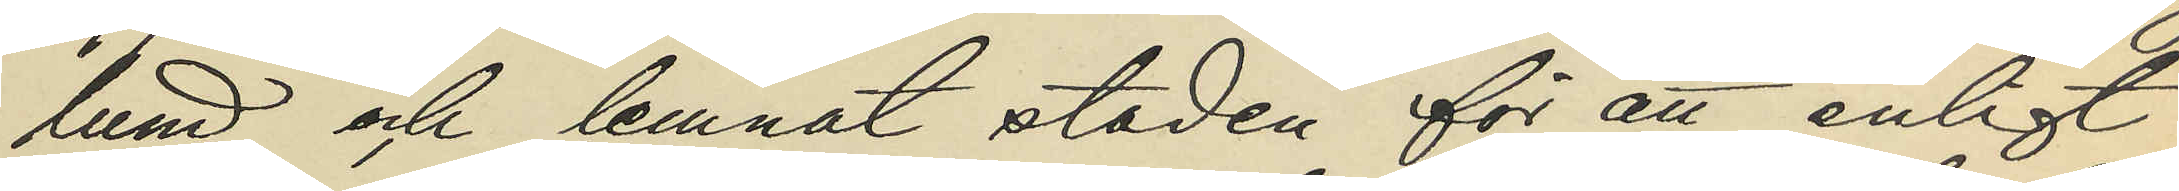lund och lemnat staden för att enligt
